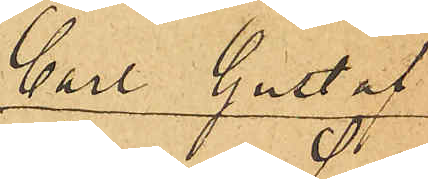Carl Gustaf
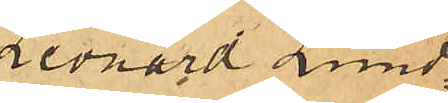Leonard Lund¬
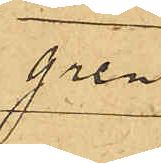gren
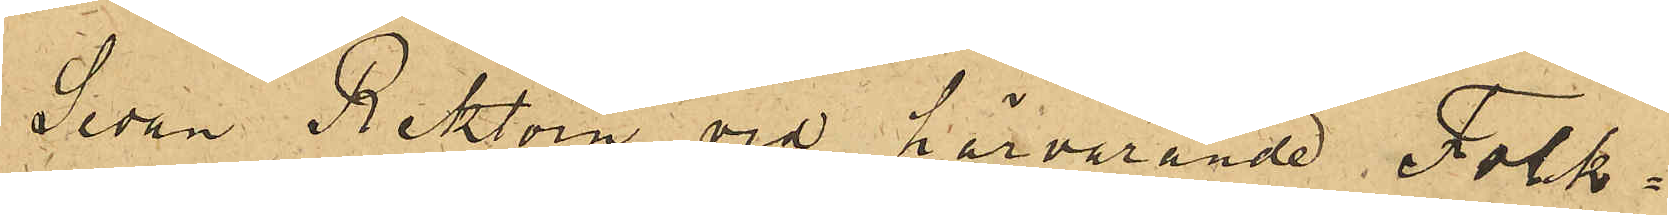Sedan  Rektorn vid härvarande Folk¬
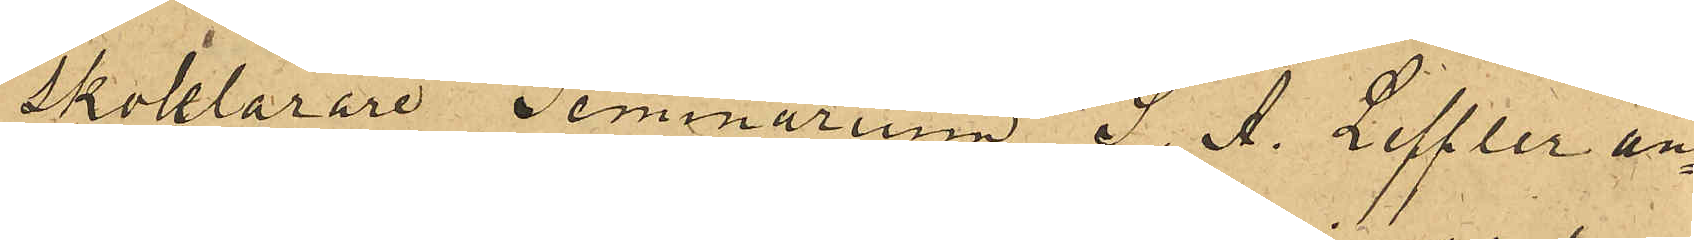skolellärare Seminarium S. A. Leffler an¬
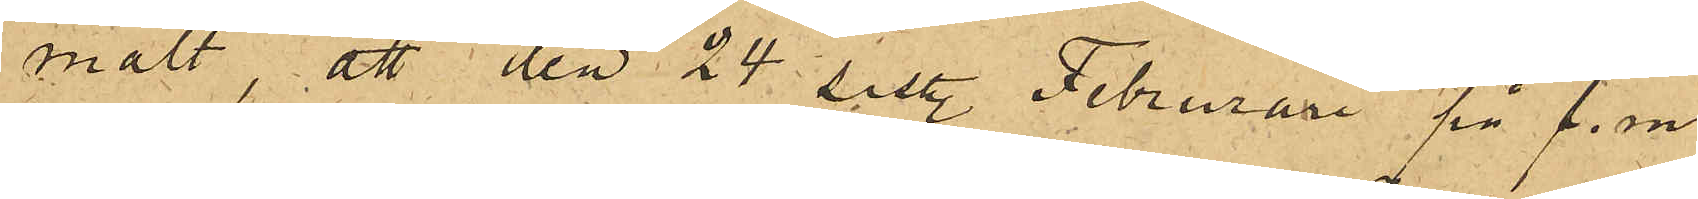mält, att den 24 sist. Februari på f. m.
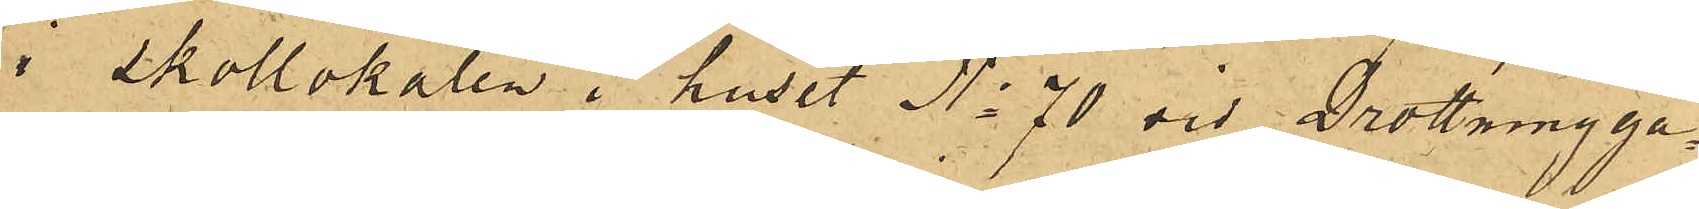i skollokalen i huset No 70 vid Drottningga¬
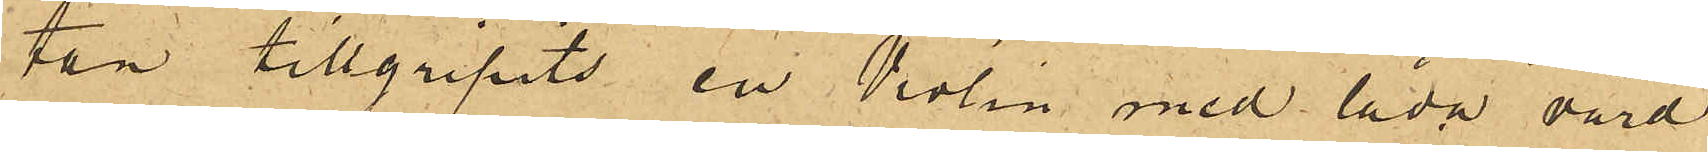tan tillgripits en Violin med låda värd
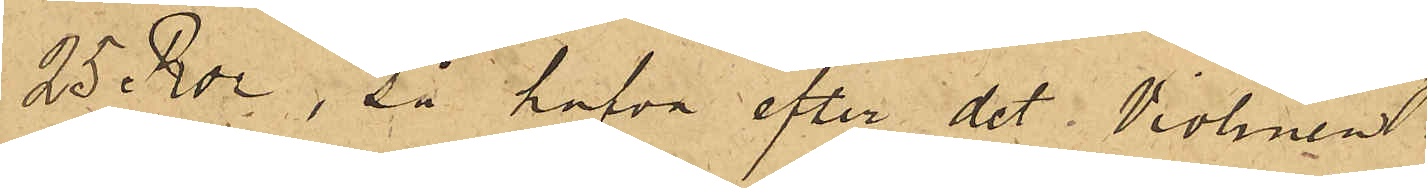25 Rdr, så hafva efter det Violinen
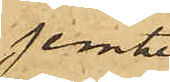jemte
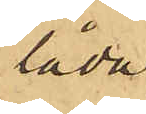låda
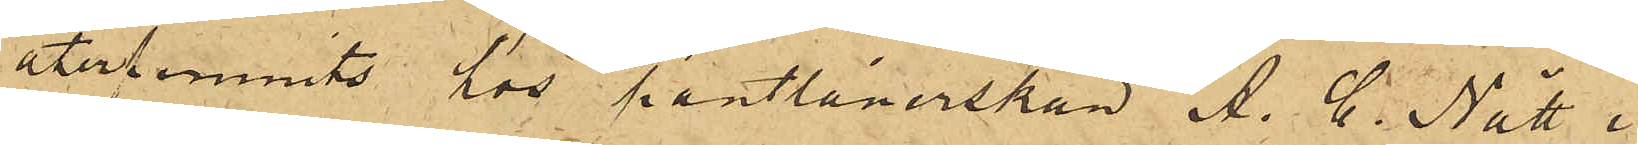återfunnits hos pantlånerskan A. C. Nätt i
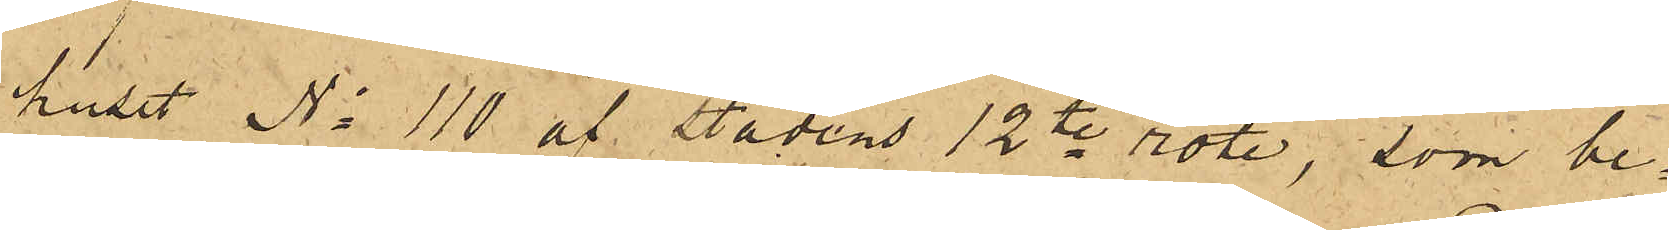huset No 110 af stadens 12te rote, som be¬
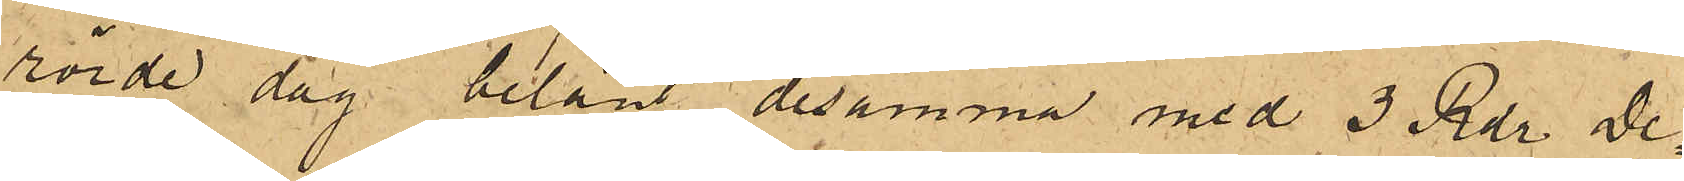rörde dag belånt desamma med 3 Rdr, De¬
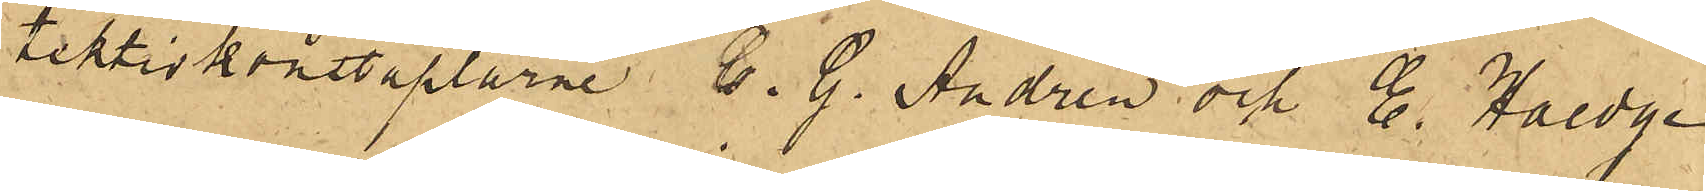tektivkonstaplarne C. G. Andrén och E. Haedge
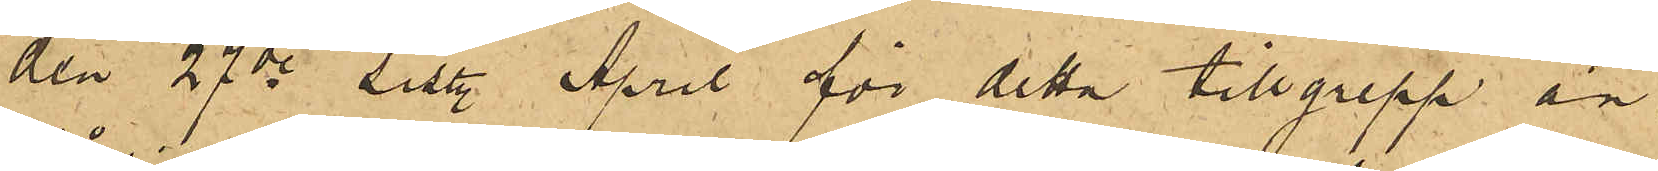den 27de sist. April för detta tillgrepp an¬
